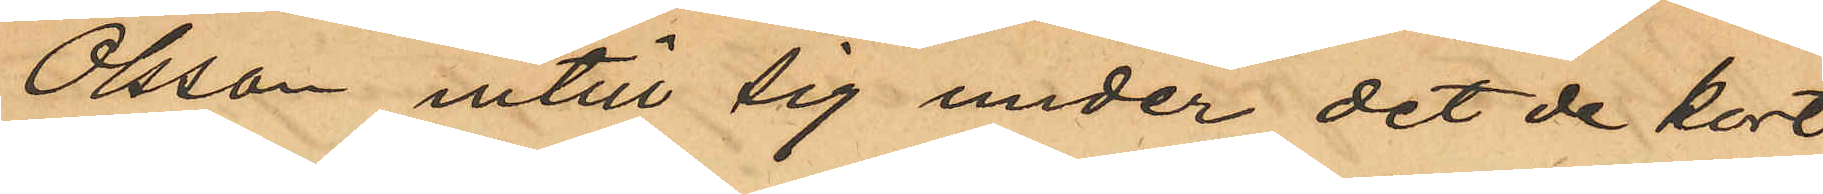Olsson intill sig under det de kort
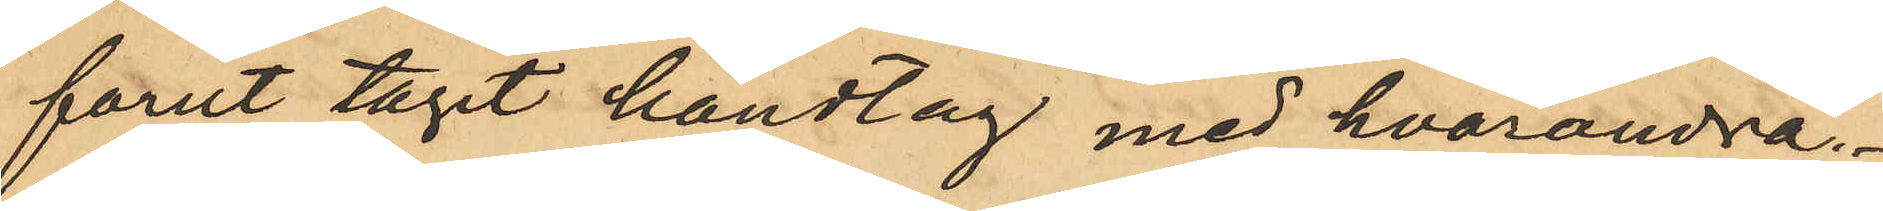forut tagit handtag med hvarandra.
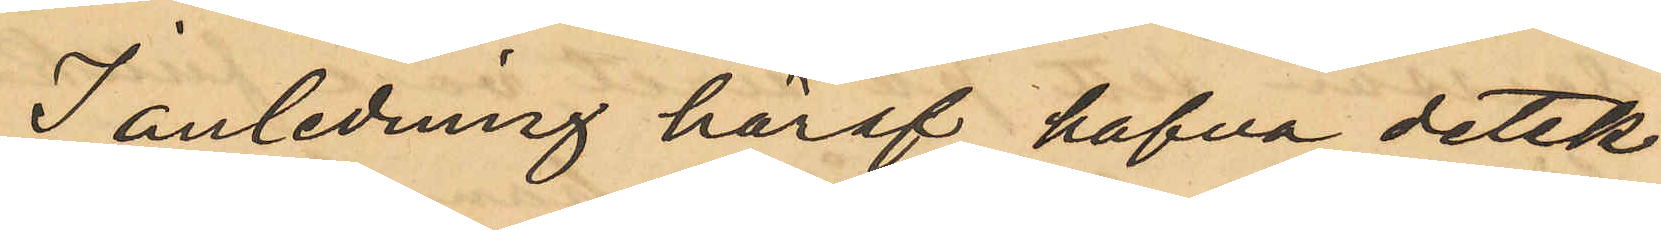I anledning häraf hafva detek¬
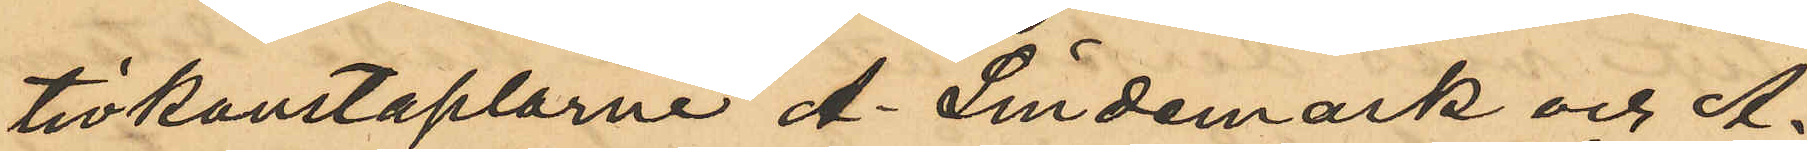tivkonstaplarne A. Lindemark och A.
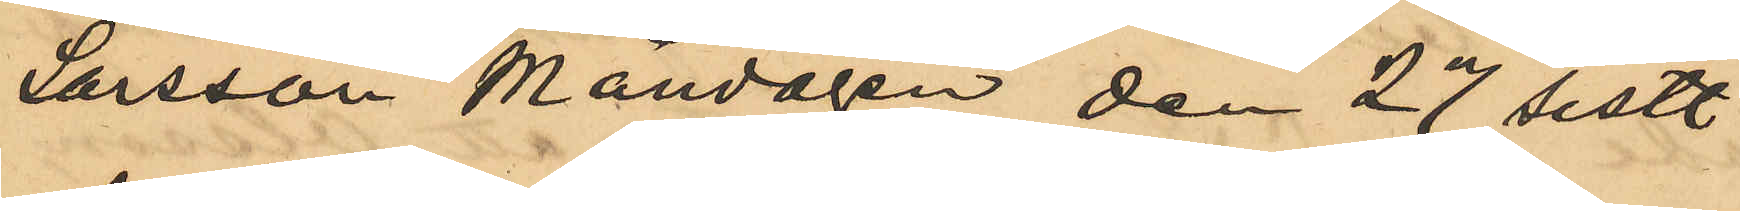Larsson Måndagen den 27 sistl
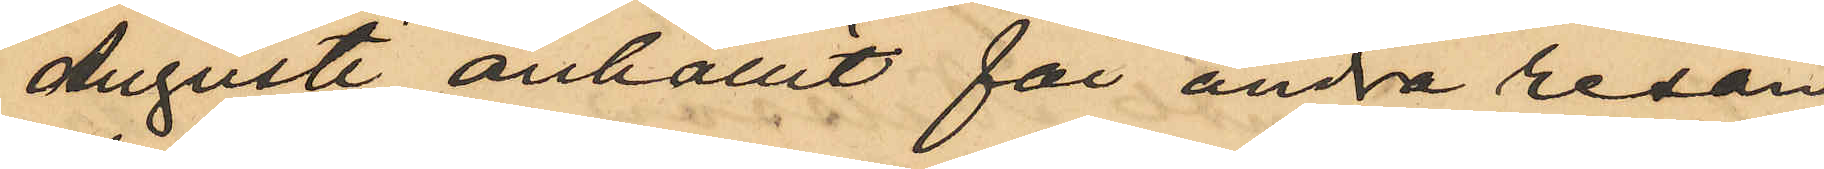Augusti anhållit för andra resan
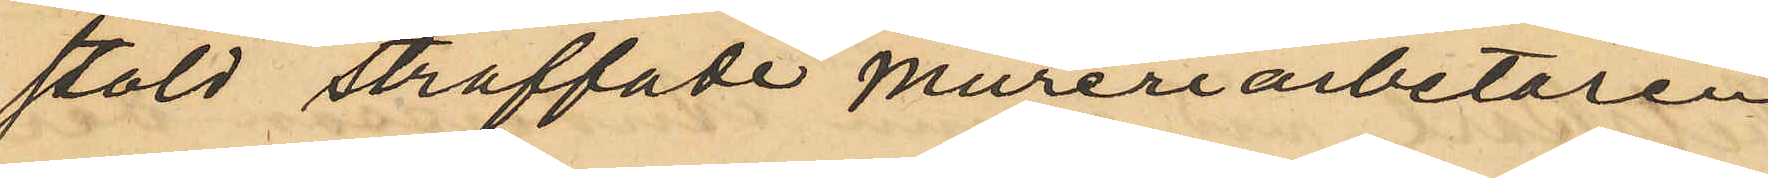stöld straffade mureriarbetaren
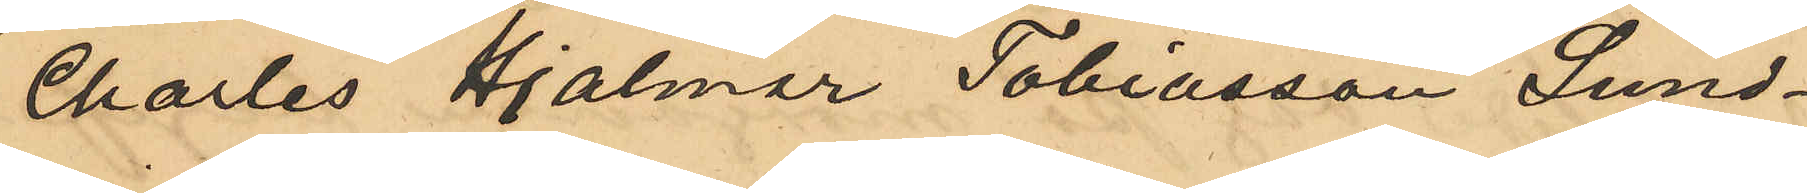Charles Hjalmar Tobiasson Lund¬
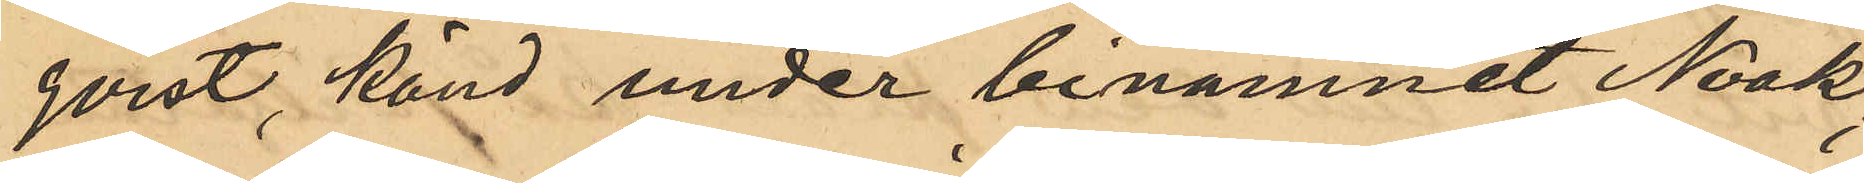qvist känd under binamnet Noak;
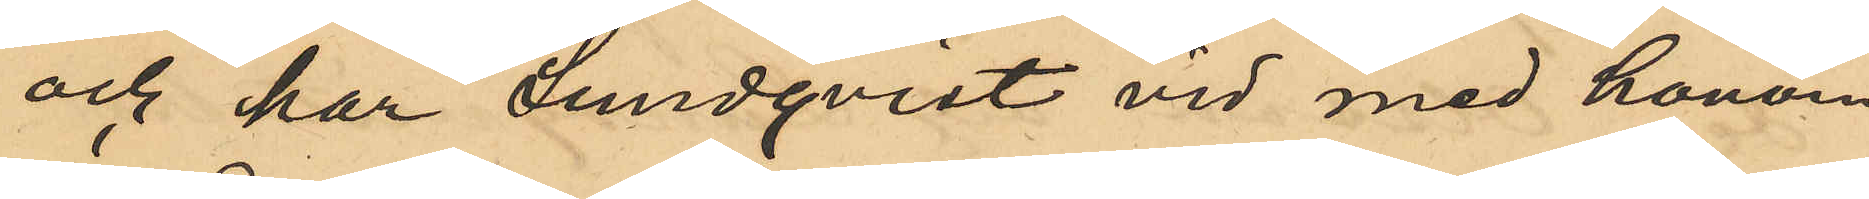och har Lundqvist vid med honom
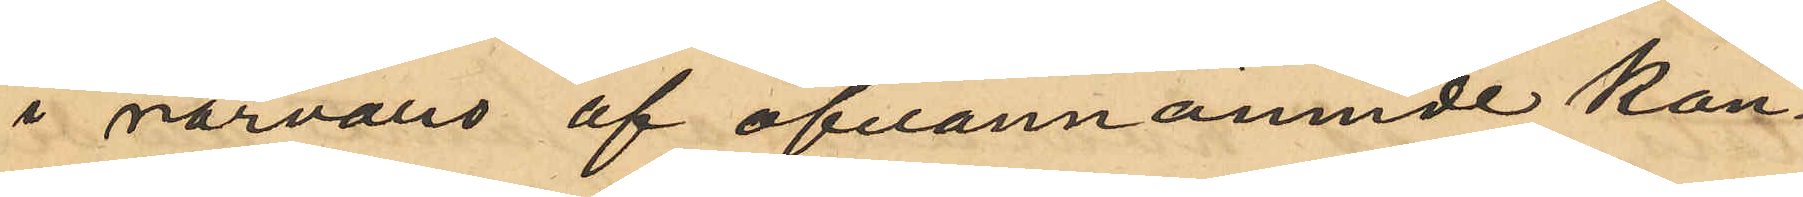i närvaro af ofvannämnde kon¬
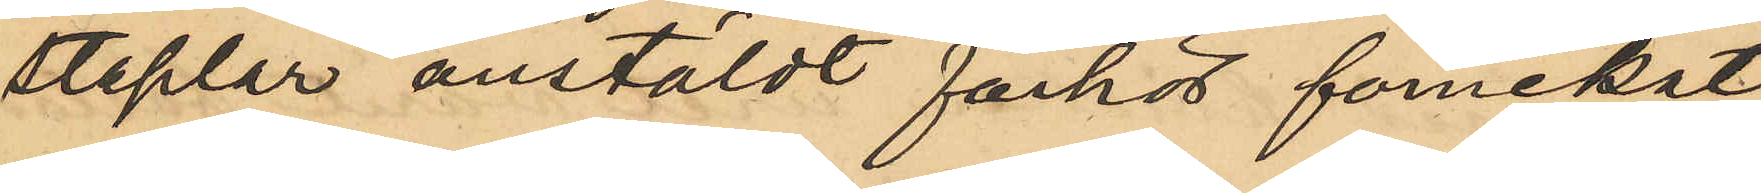staplar anstäldt förhör förnekat
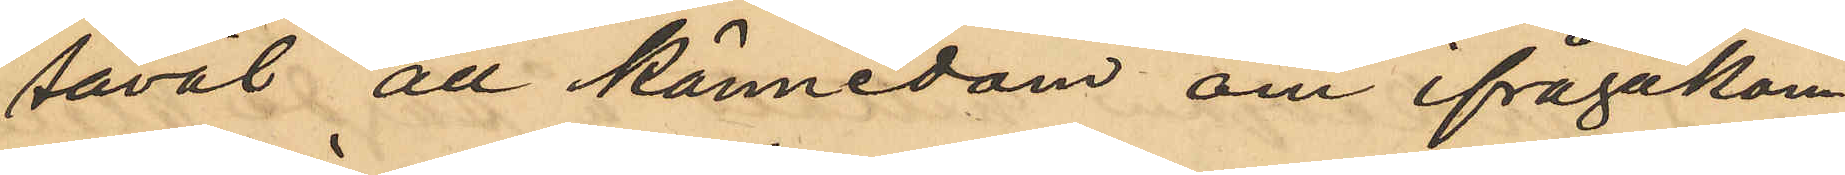såväl all kännedom om ifrågakom¬
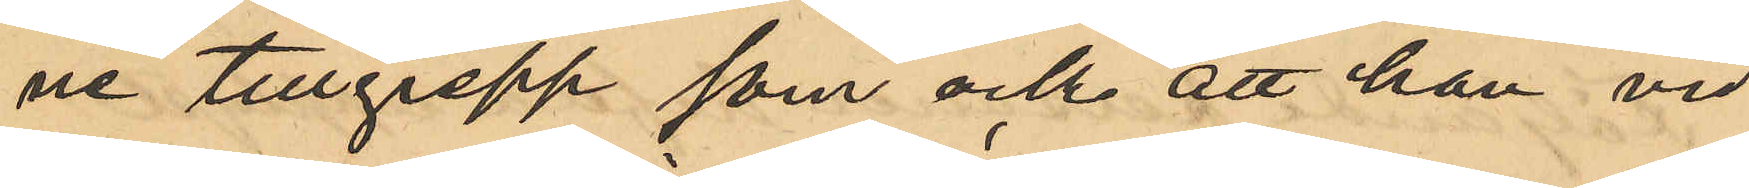ne tillgrepp som ock att han vid
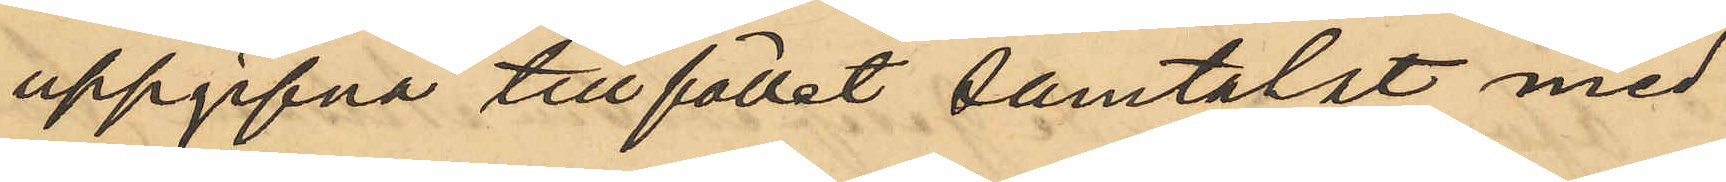uppgifna tillfället samtalat med
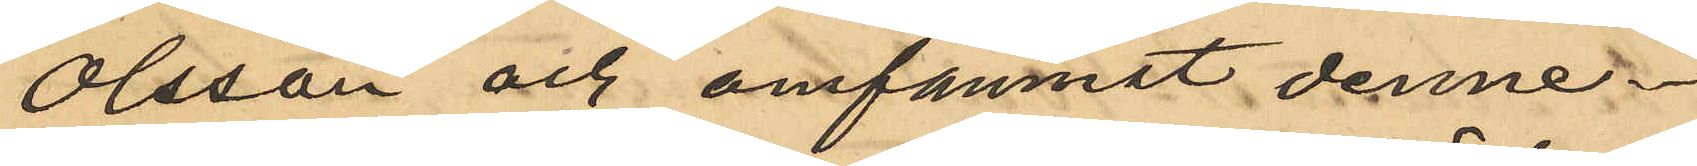Olsson och omfamnat denne.
